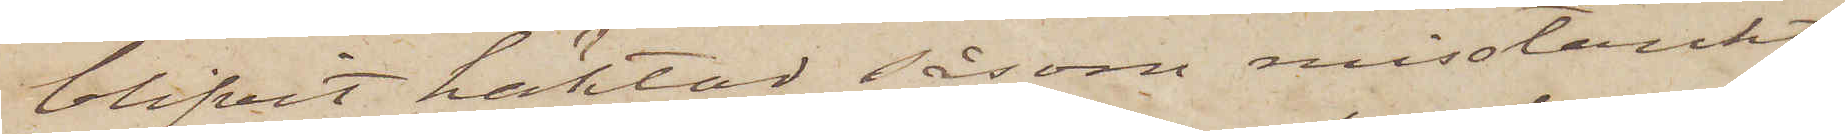blifvit häktad såsom misstänkt
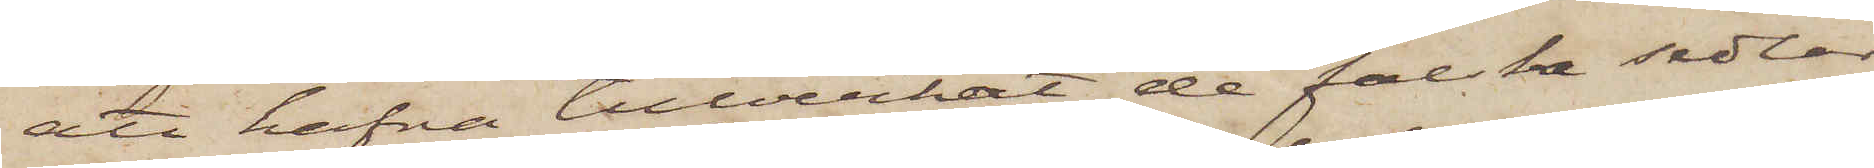att hafva tillverkat de falska sedlar
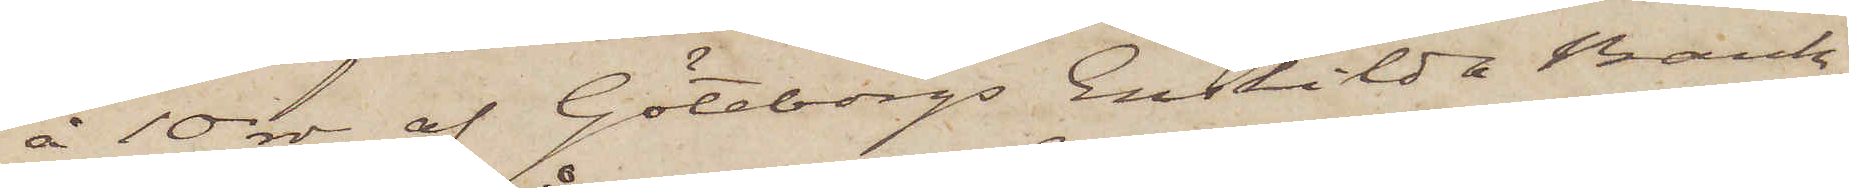å 10 rdr af Göteborgs Enskilda Bank
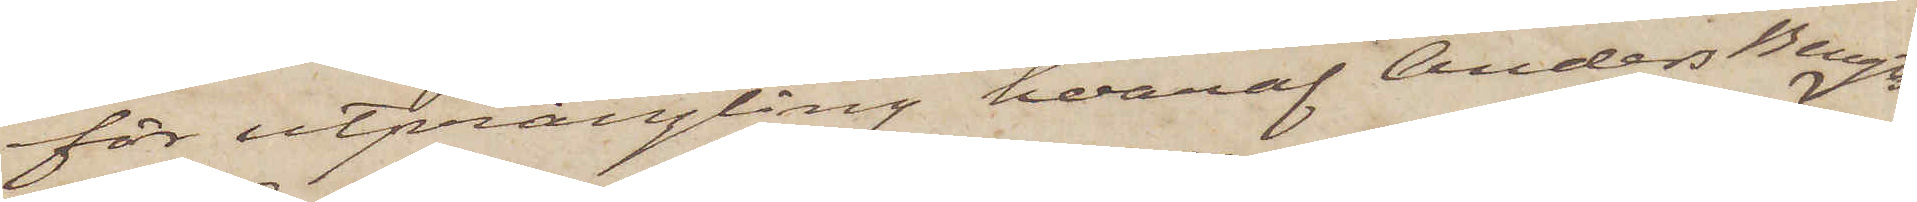för utprångling, hvaraf Anders Bengts¬
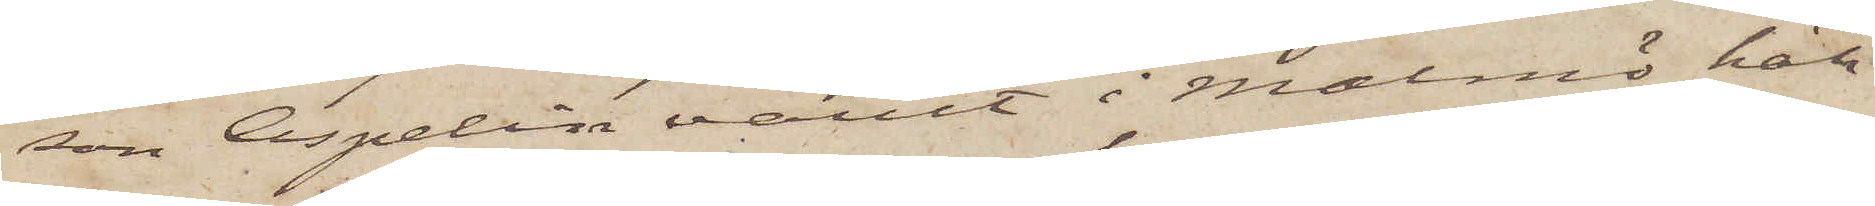son Aspelin varit i Malmö häk¬
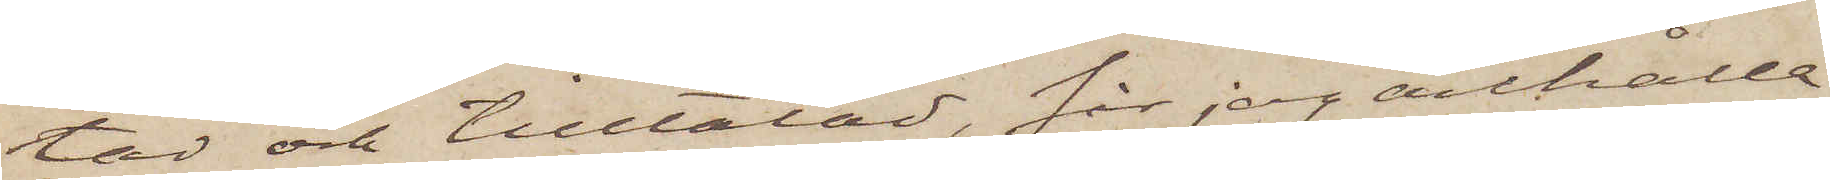tad och tilltalad, får jag anhålla
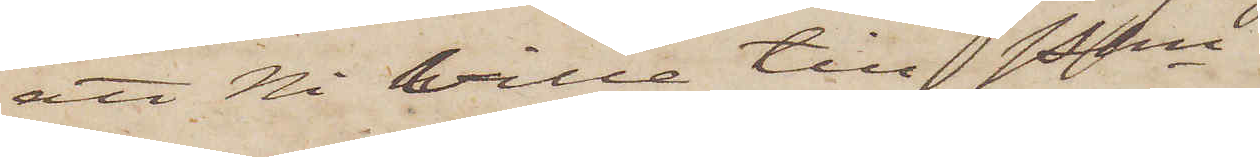att Ni ville till Pkn
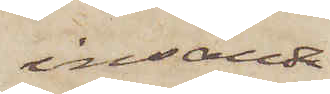insända
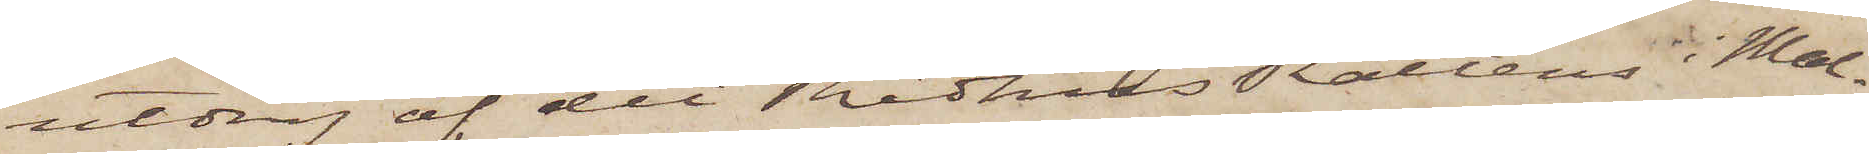utdrag af det Rådhus Rättens i Mal¬
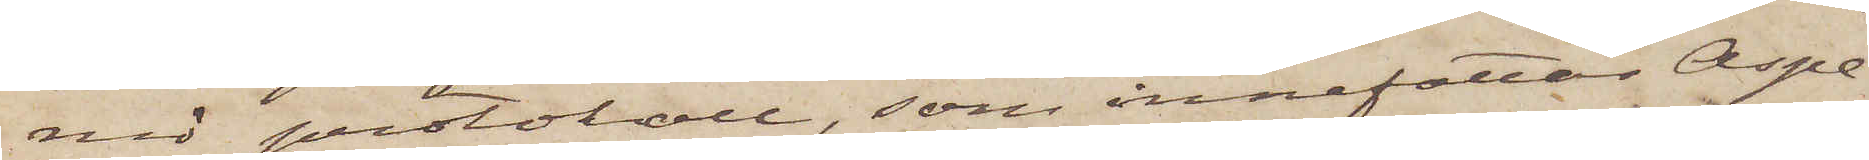mö protokoll, som innefattar Aspe¬
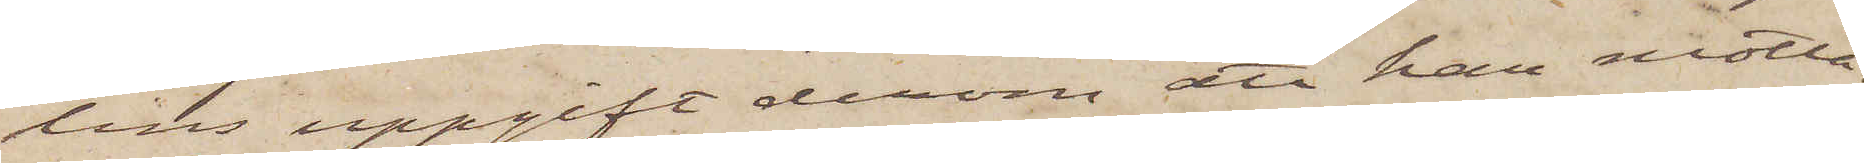lins uppgift derom att han motta¬
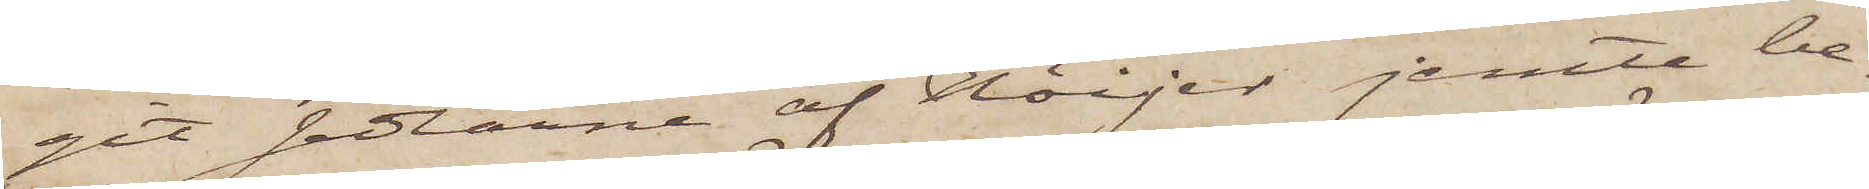git sedlarne af Höijer jemte be¬
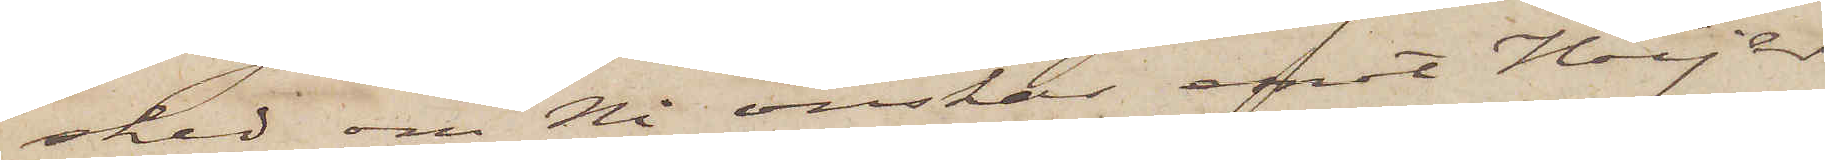sked om Ni önskar emot Höijer
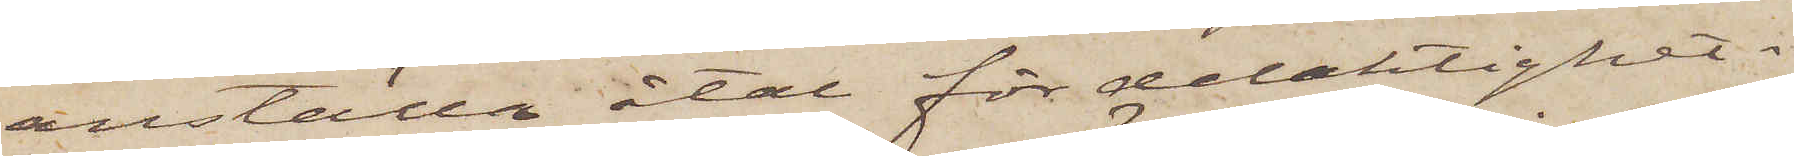anställa åtal för delaktighet i
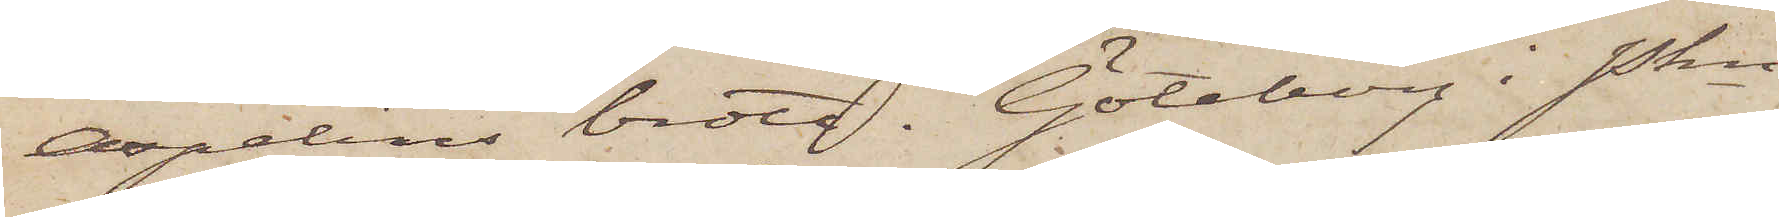Aspelins brott. Göteborg i Pkn
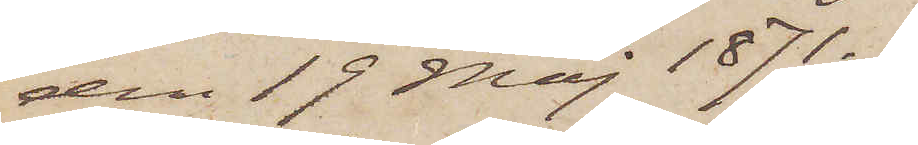den 19 Maj 1871.
